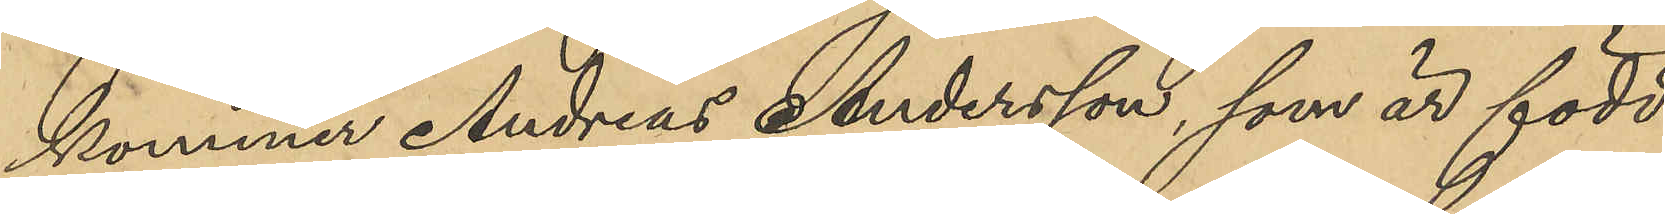kommer Andreas Andersson, som är född
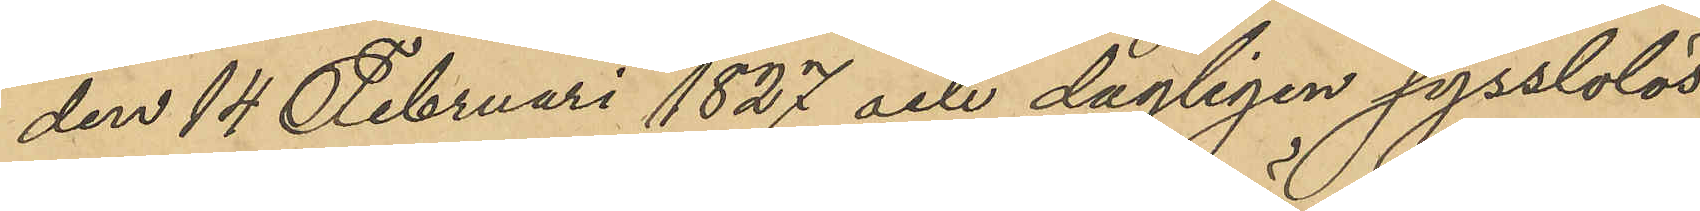den 14 Februari 1827 och dagligen sysslolös
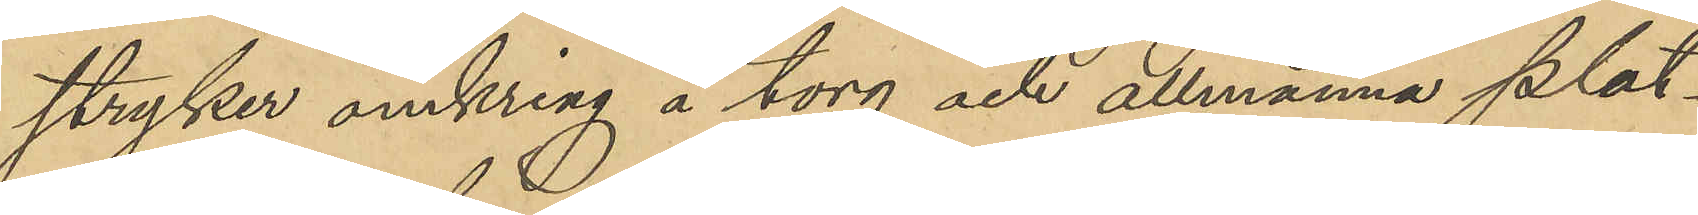stryker omkring å torg och allmänna plat¬
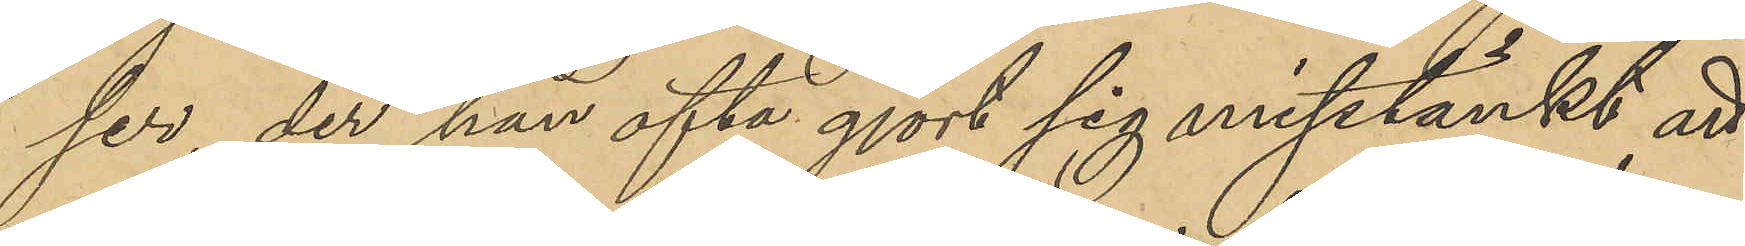ser, der han ofta gjort sig misstänkt att
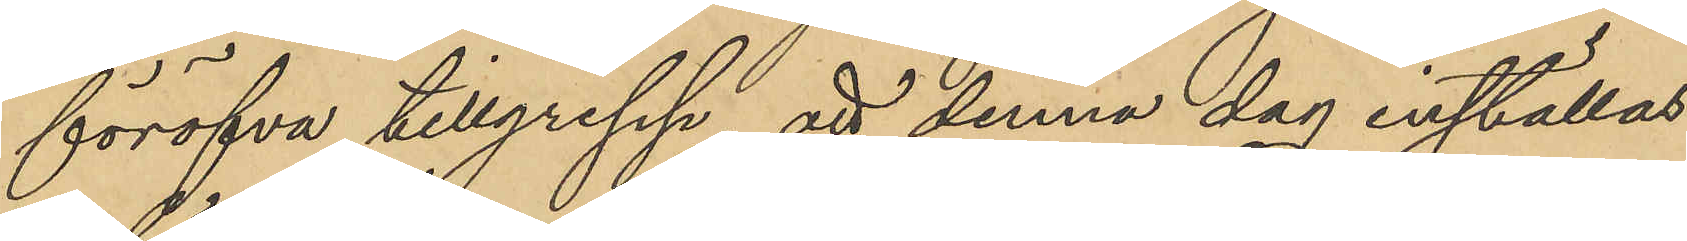föröfva tillgrepp att denna dag inställas
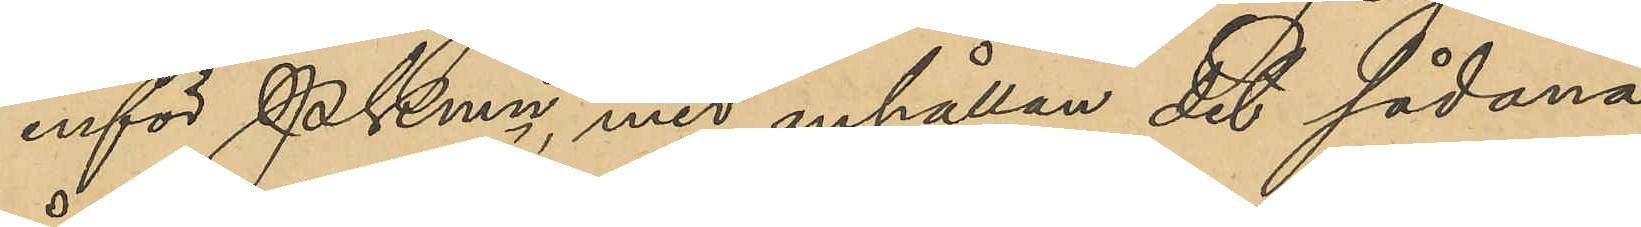inför PKmn, med anhållan det sådana
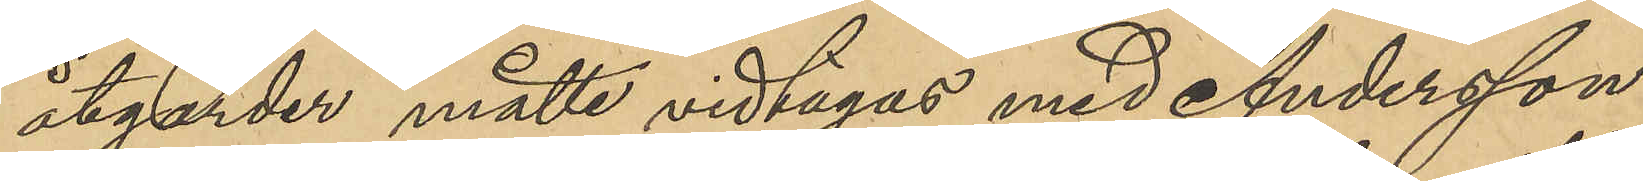åtgärder måtte vidtagas med Andersson
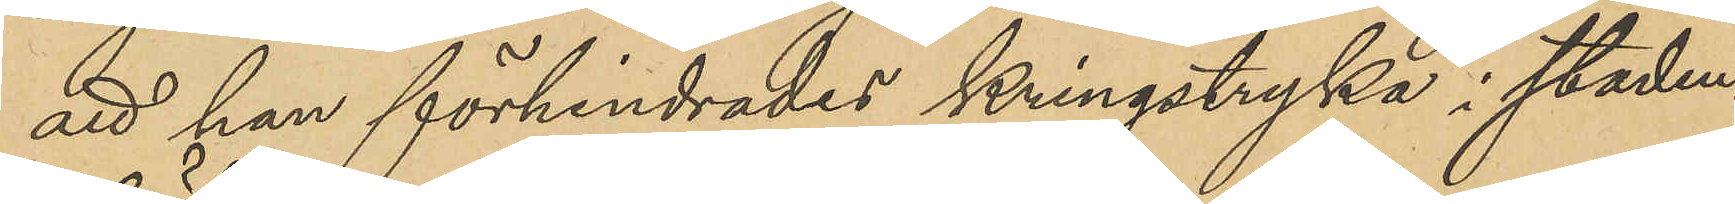att han förhindrades kringstryka i staden.
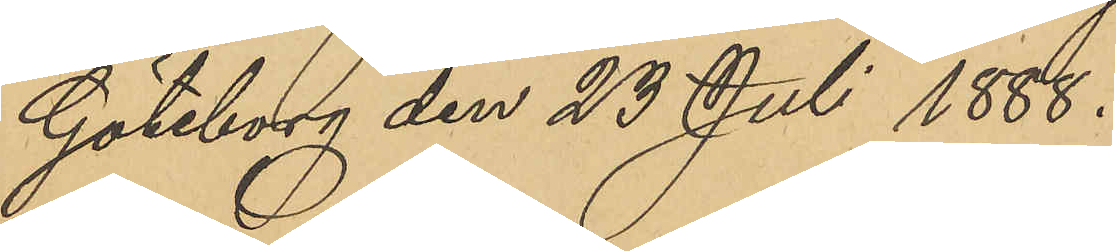Göteborg den 23 Juli 1888.
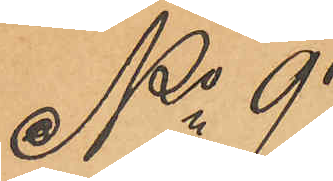No 97
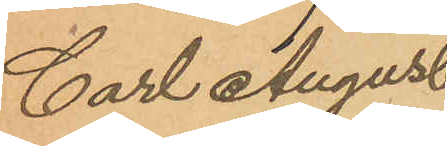Carl August
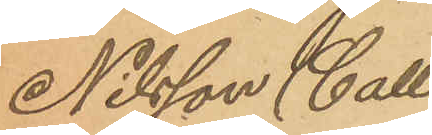Nilsson (Calle
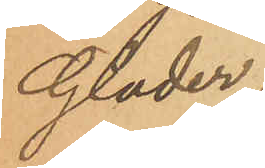Glader)
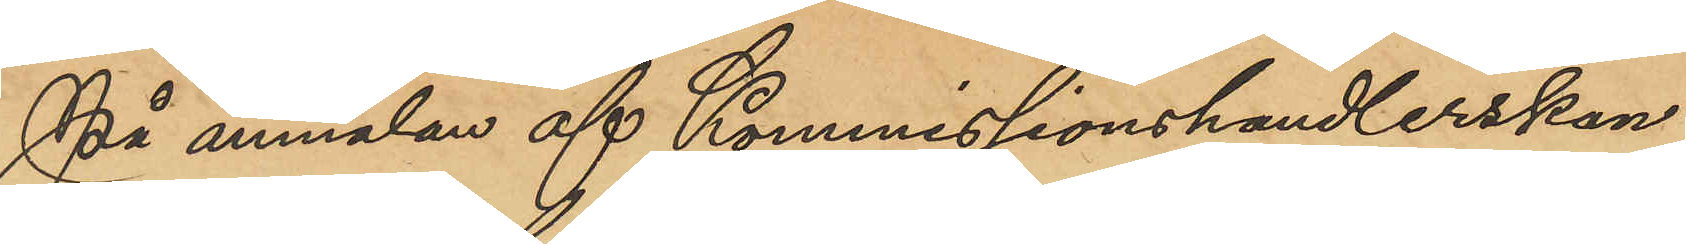På anmälan af Kommissionshandlerskan
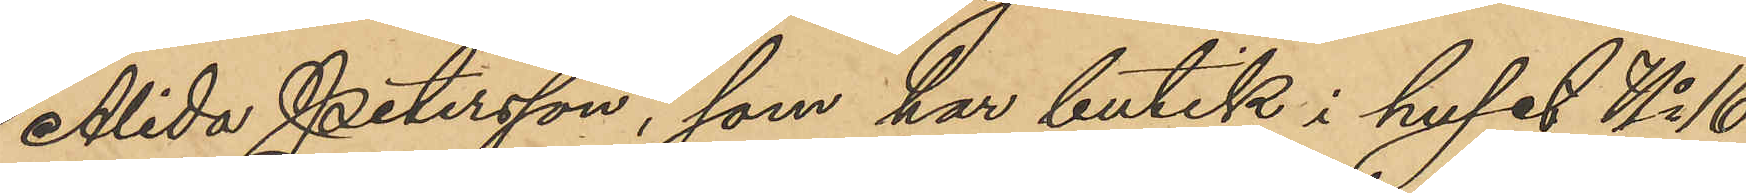Alida Petersson, som har butik i huset No 16
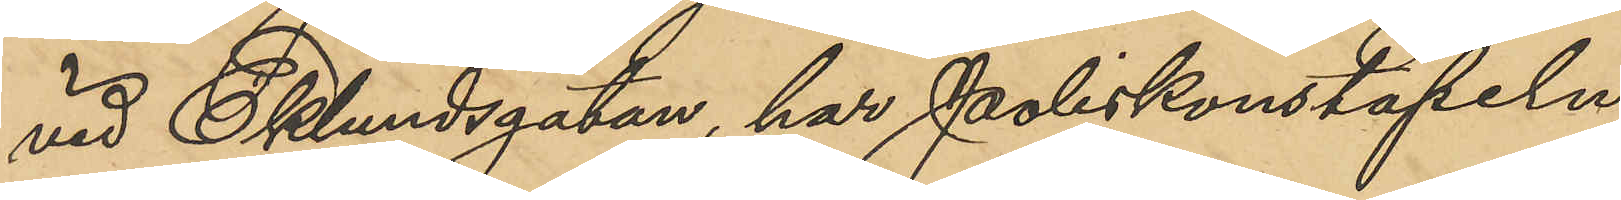vid Eklundsgatan, har Poliskonstapeln
